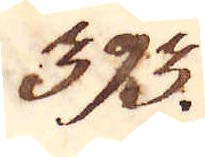393.
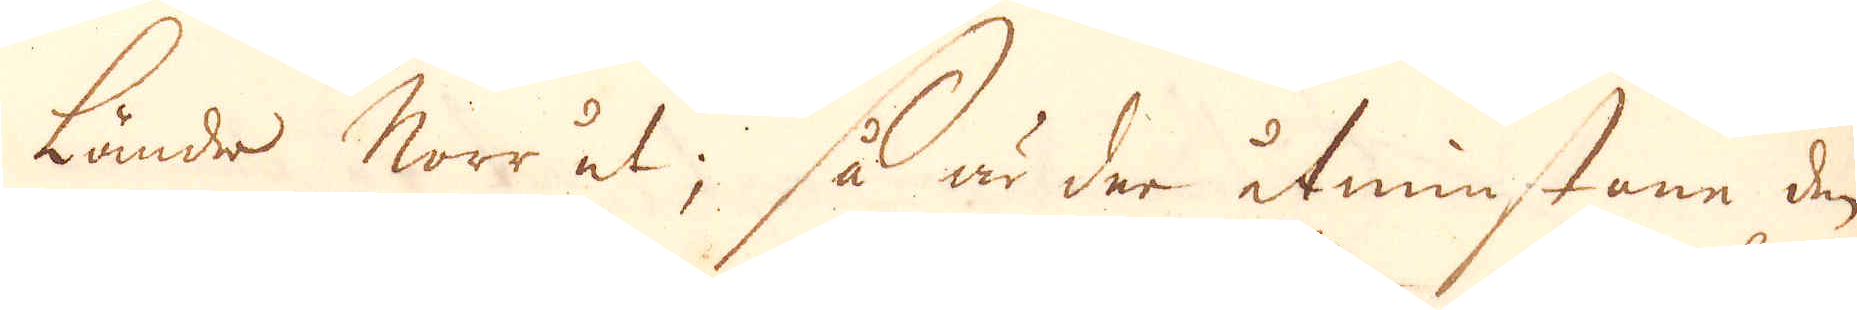Länder Norr ut; så är der åtminstone den
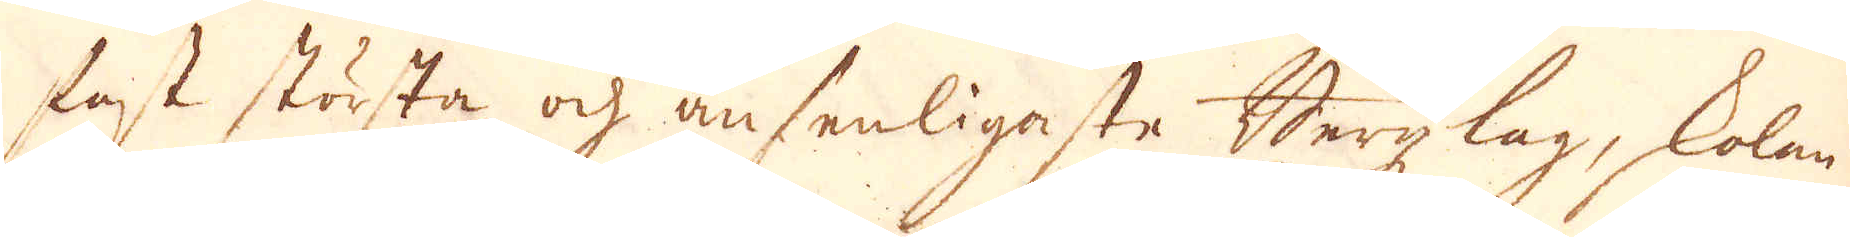fast största och ansenligaste Bergzlag, skolan-
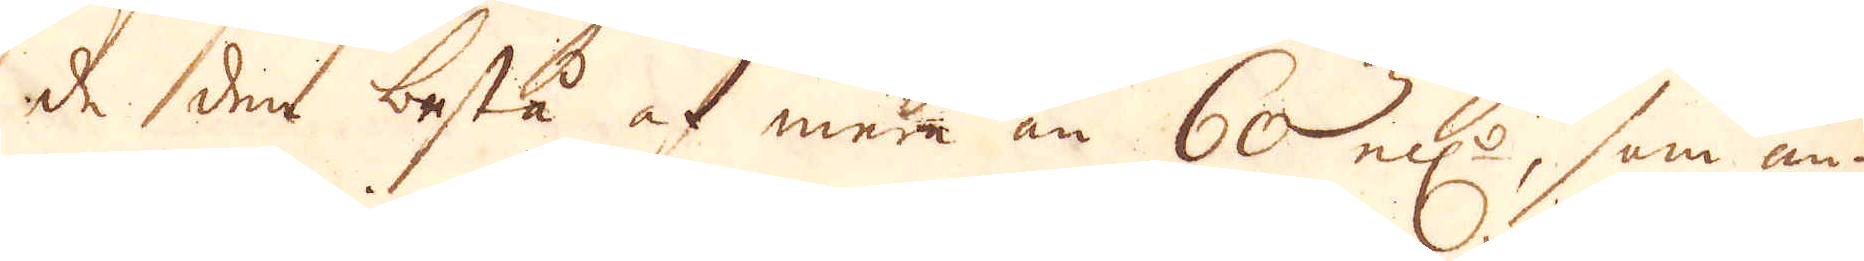de den bestå af mera än 60 el:r, som an-
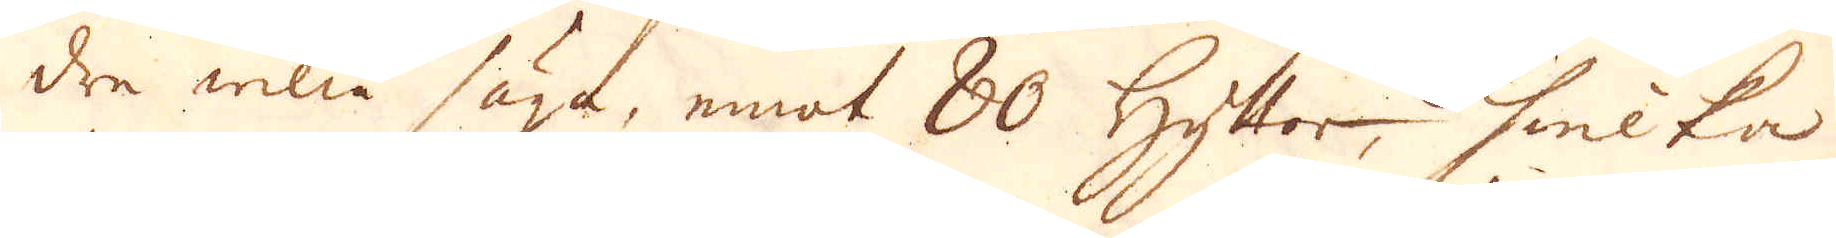dre willia säga, emot 80 hyttor, hwilka
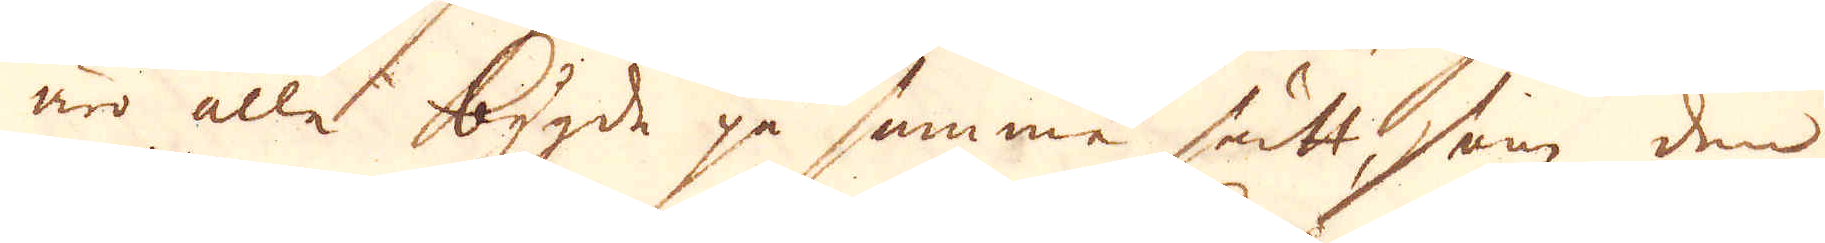äro alle bygde på samme sätt, som den
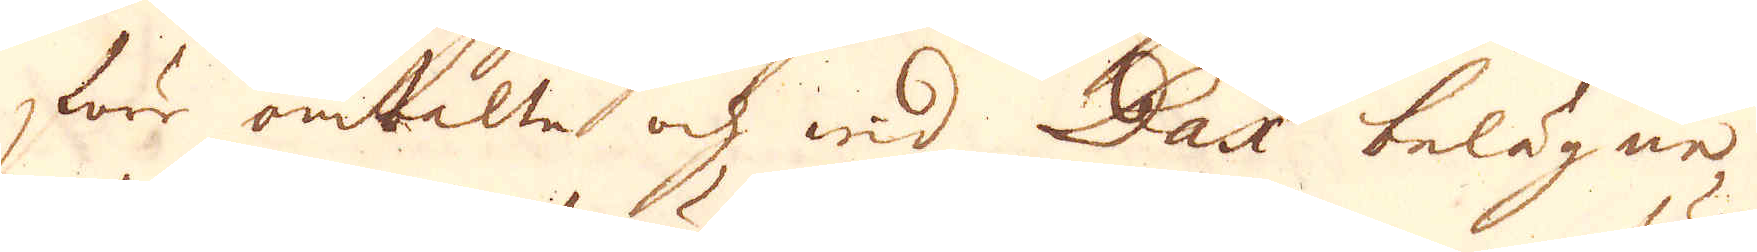förr omtalte och wid Dax belägne
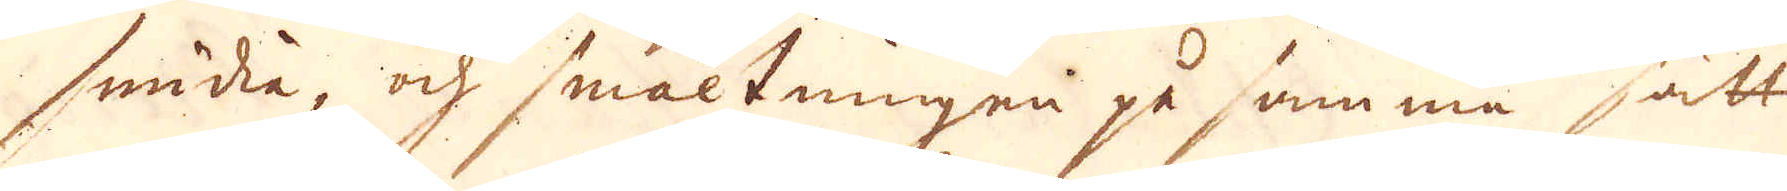smidia, och smältningen på samma sätt
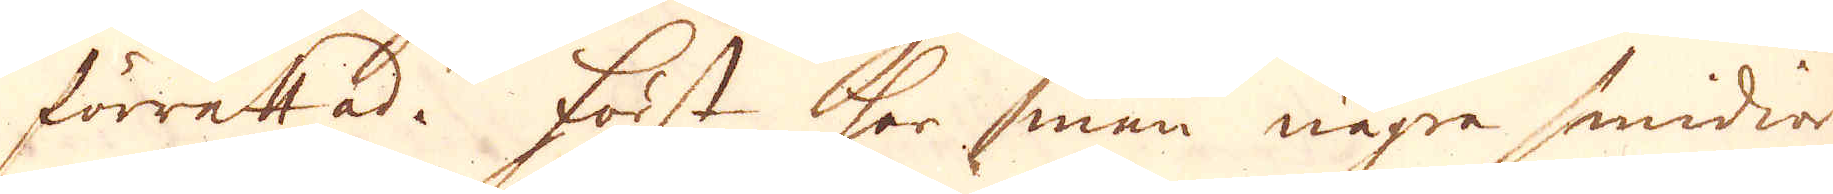förrättad. Först har man några smidior
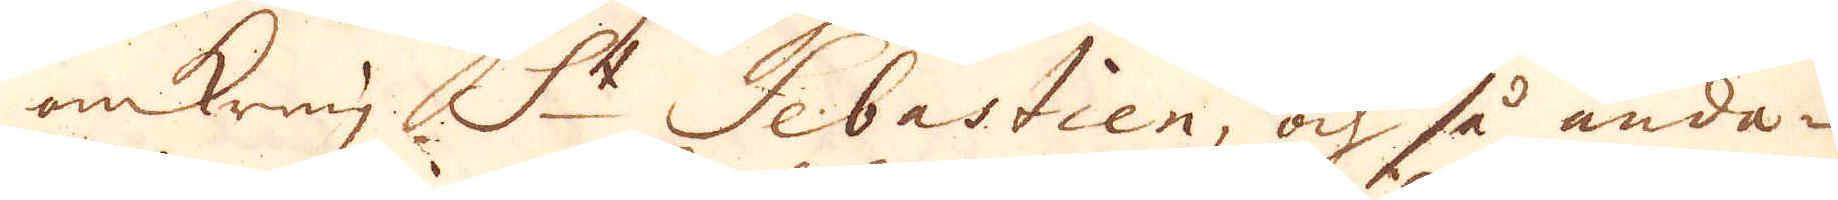omkring S:t Sebastien, och så ända-
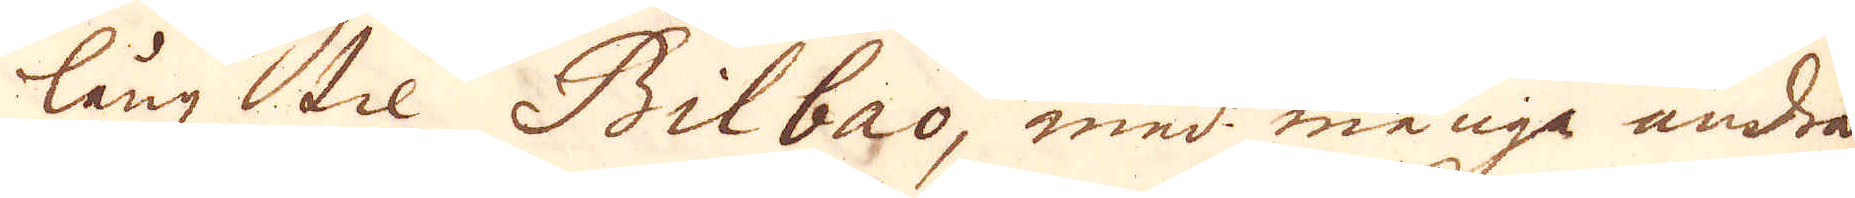längz til Bilbao, med många andra
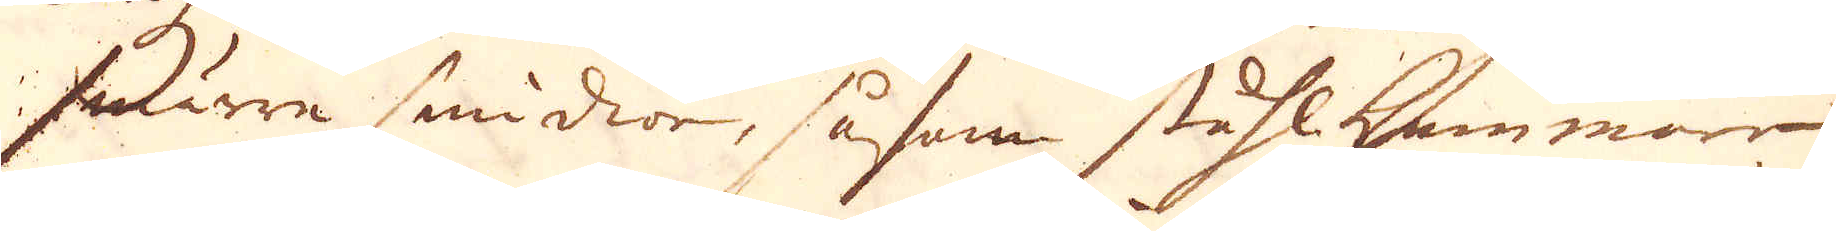smärre smidior, såsom ståhl hammare
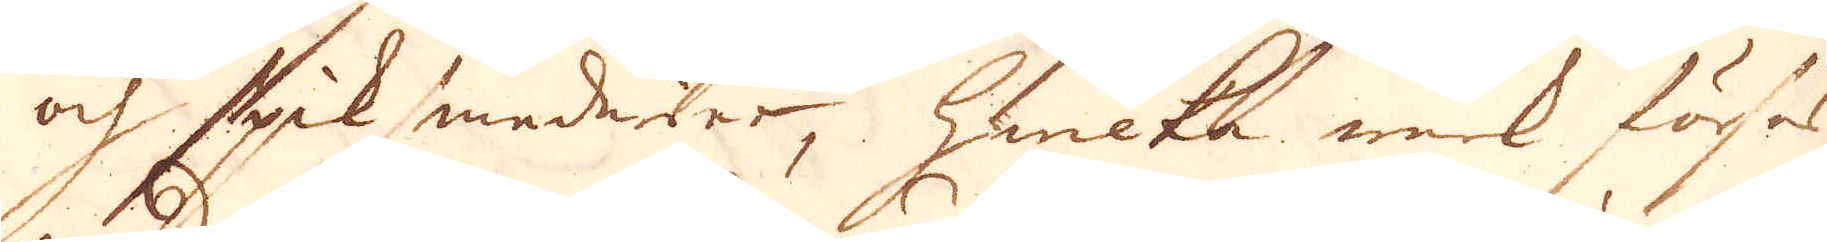och stycksmedior, hwilka werk förses
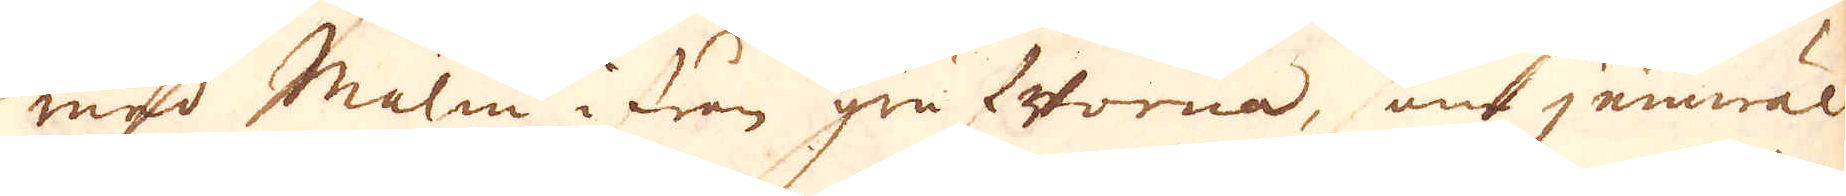med Malm ifrån grufworna, som jämwäl
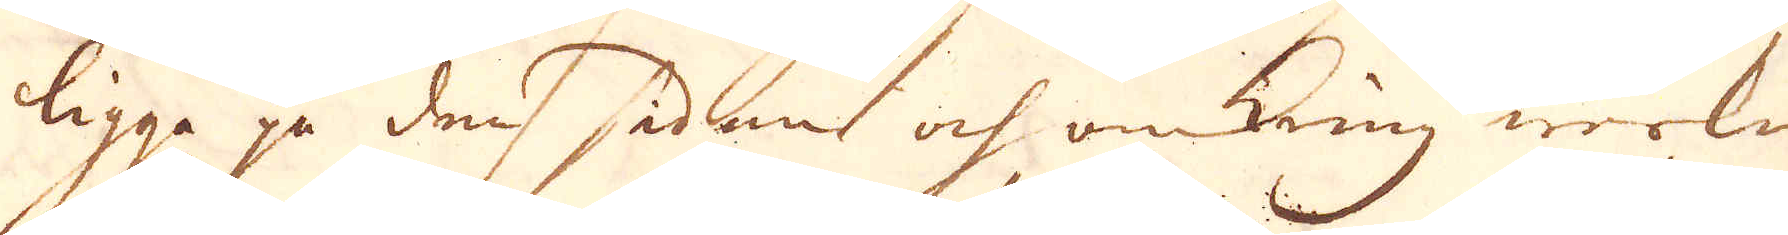ligga på den sidan och omkring werken
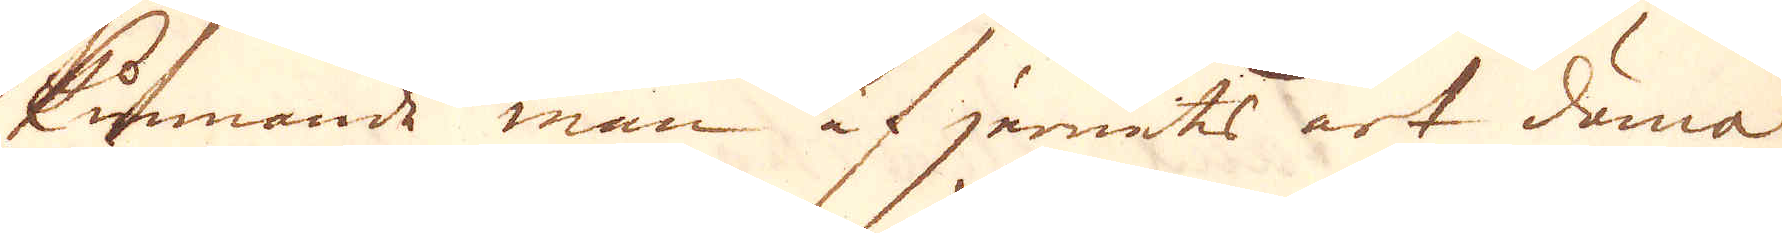kunnande man af jernets art döma
